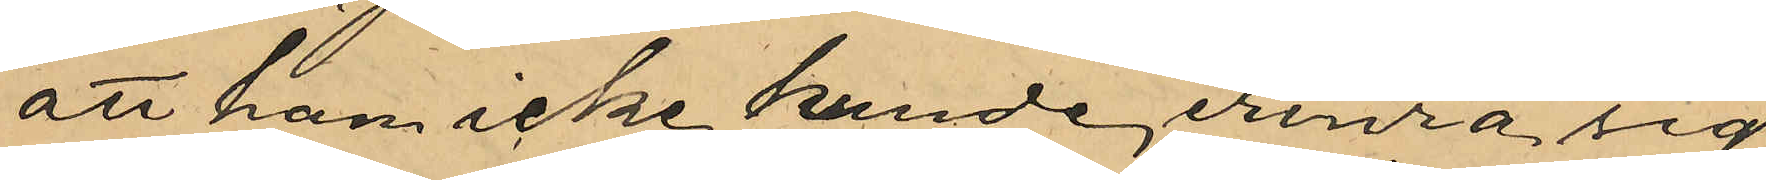att han icke kunde erinra sig
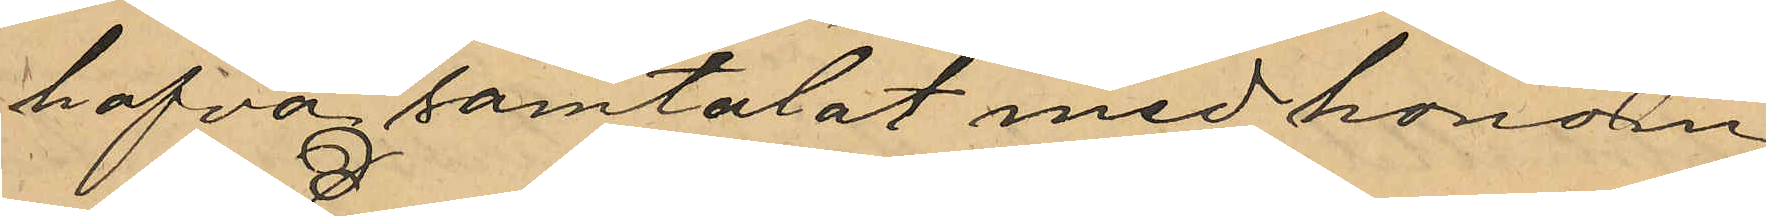hafva samtalat med honom;
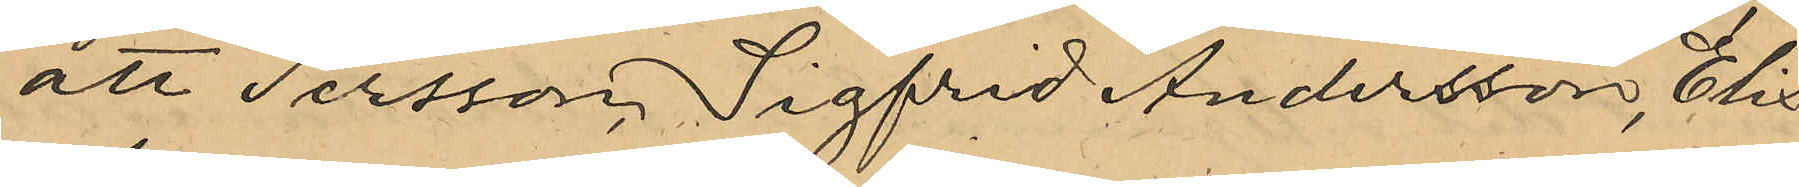att Persson, Sigfrid Andersson, Elis
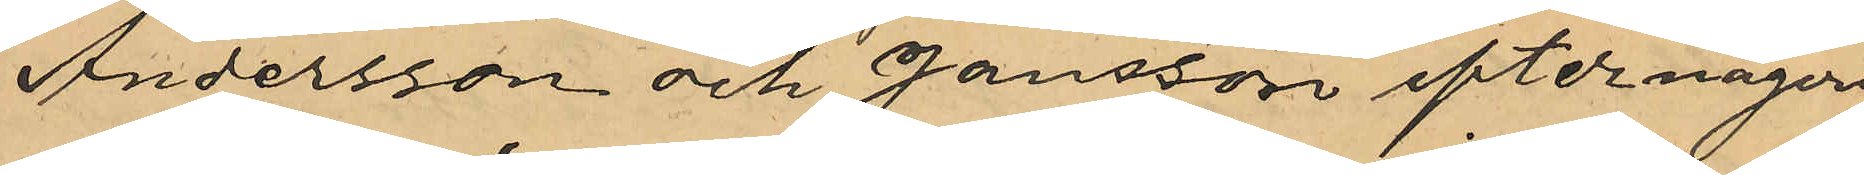Andersson och Jansson efter någon
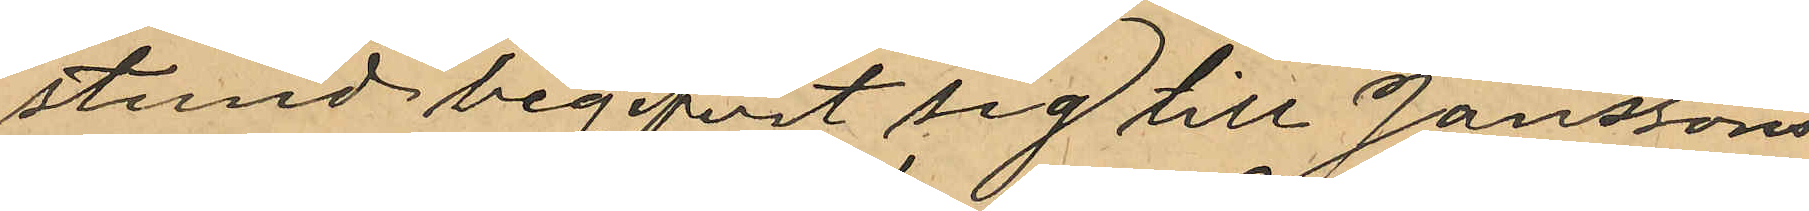stund begifvit sig till Janssons
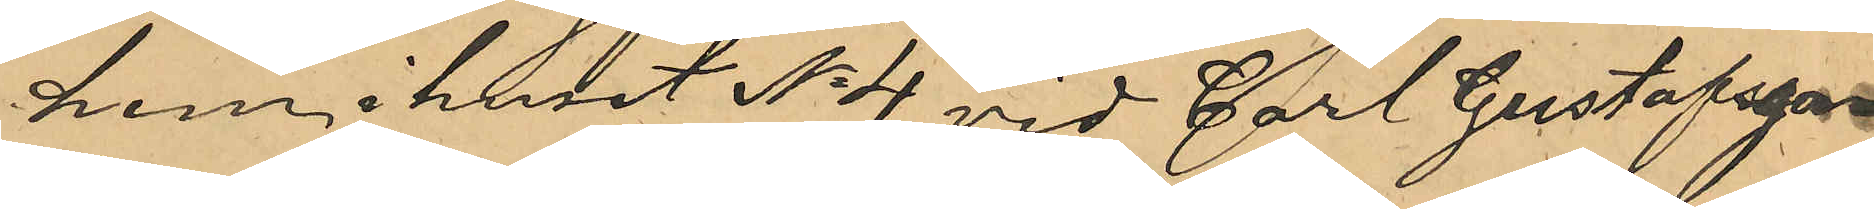hem, i huset No 4 vid Carl Gustafsga¬
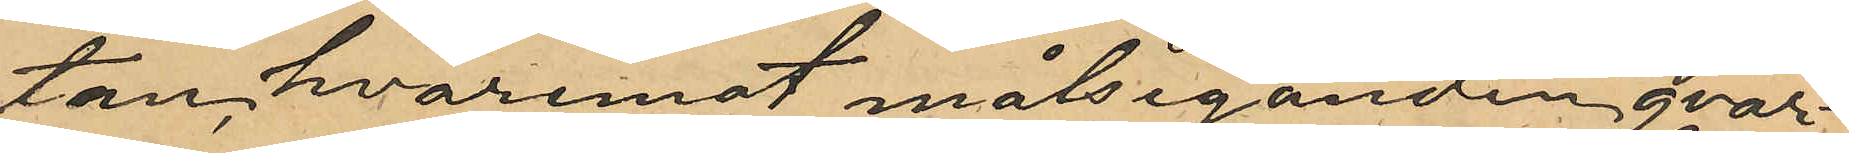tan, hvaremot målseganden qvar¬
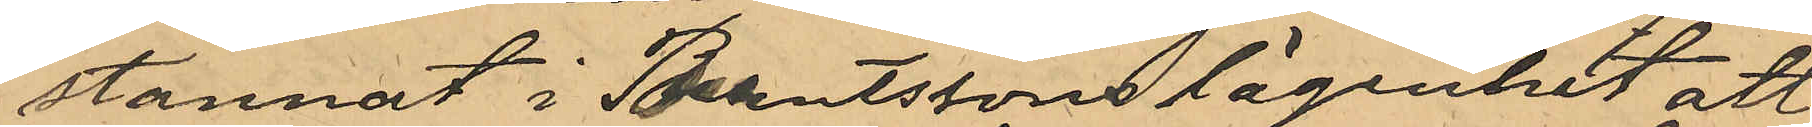stannat i Berndtssons lägenhet att
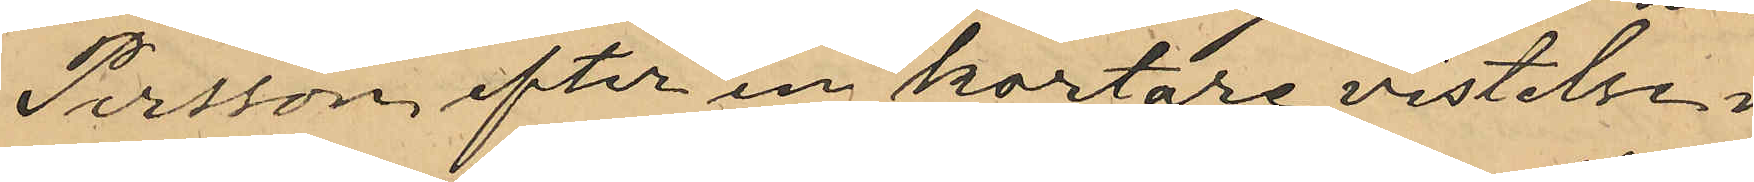Persson, efter en kortare vistelse i
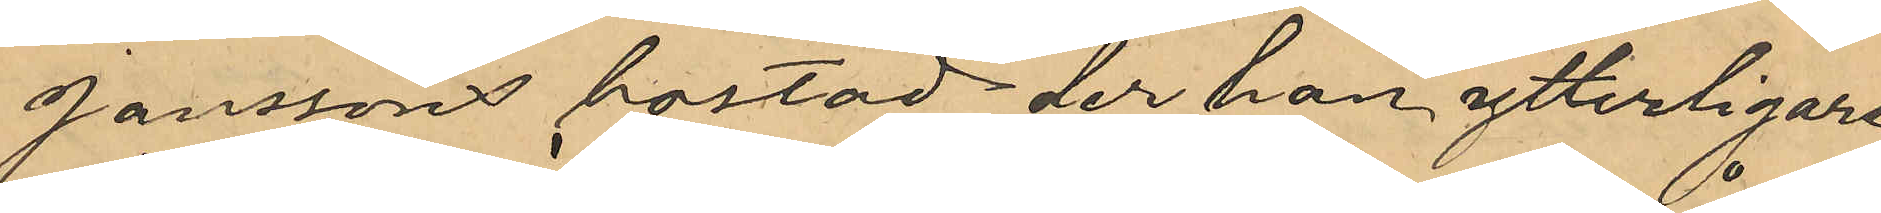Janssons bostad der han ytterligare
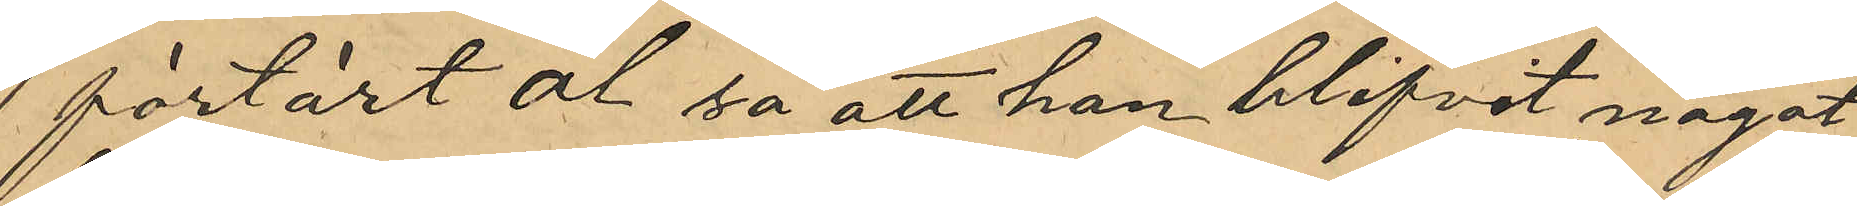förtärt öl så att han blifvit något
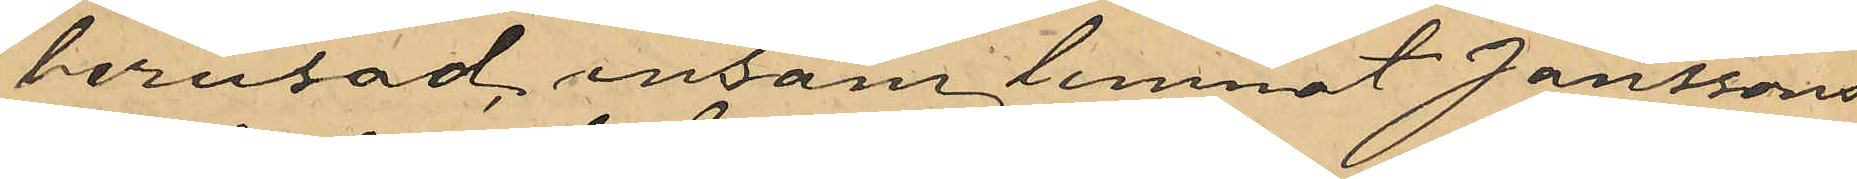berusad, ensam lemnat Janssons
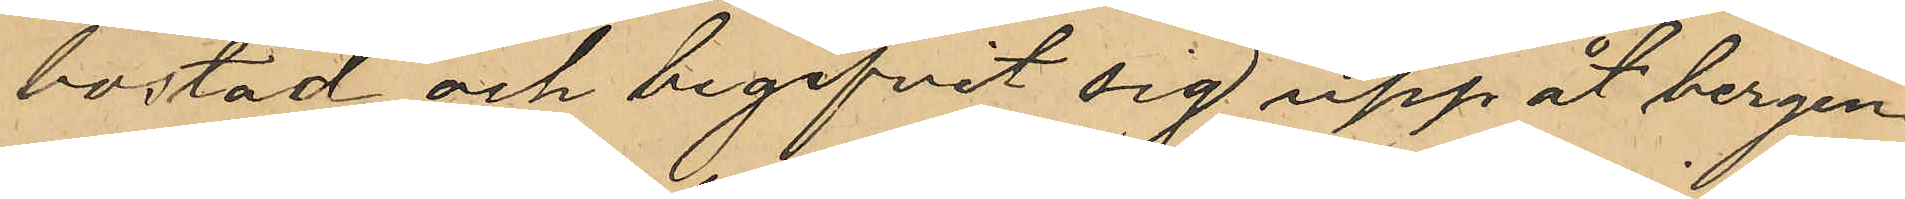bostad och begifvit sig upp åt bergen
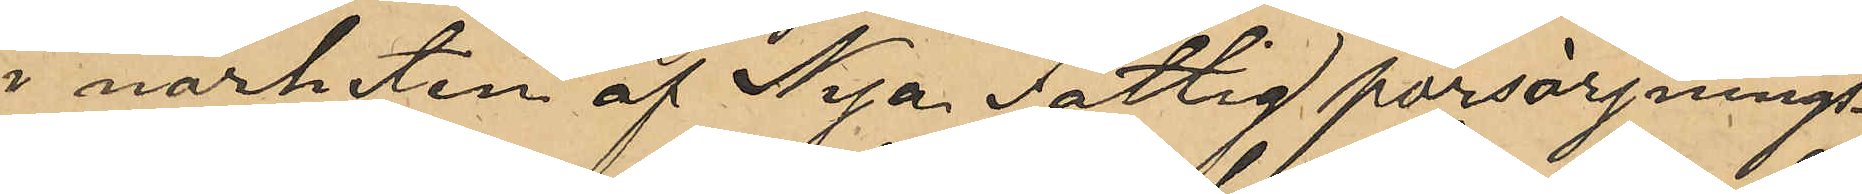i närheten af Nya Fattigförsörjnings¬
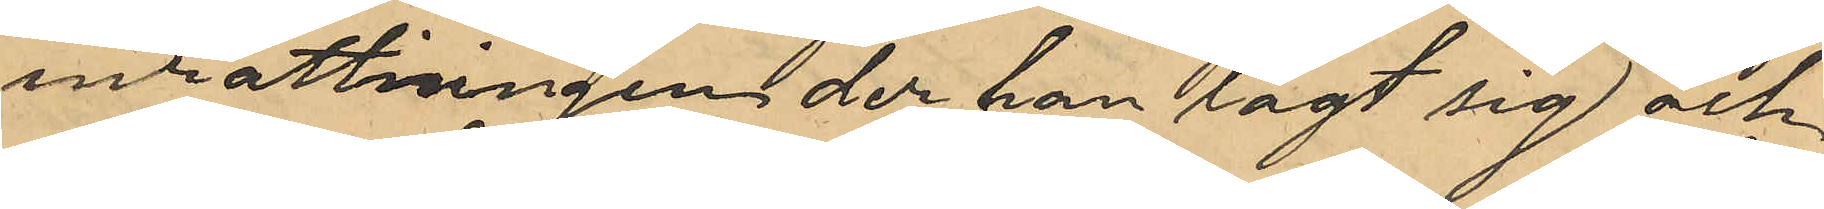inrättningen der han lagt sig och
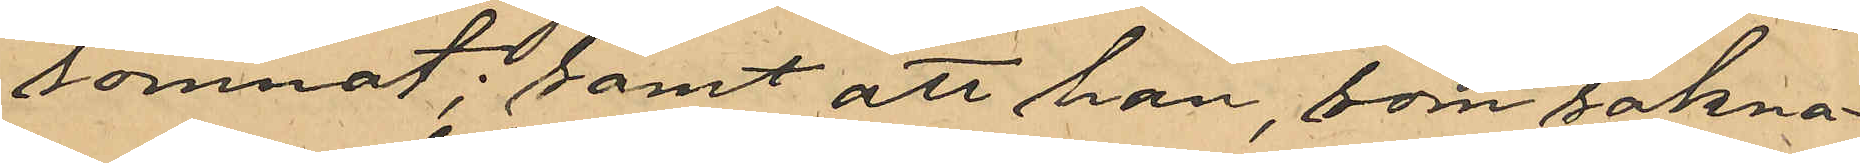somnat; samt att han, som sakna¬
